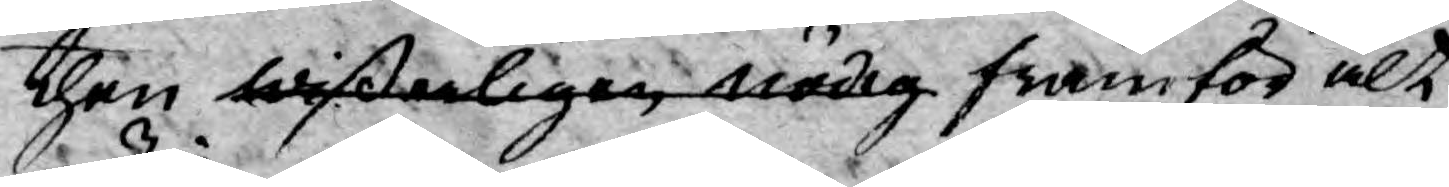then wißerligen nödig framför alt
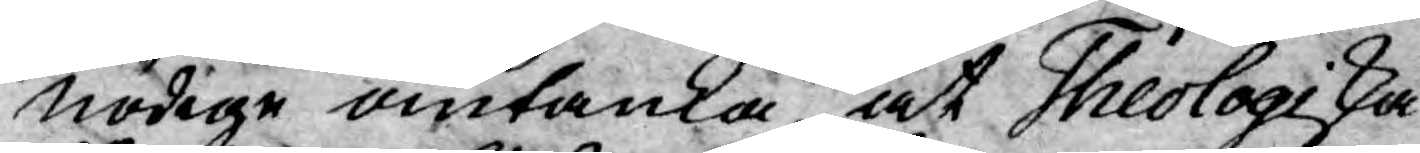nödige omtanka, at Theologiska
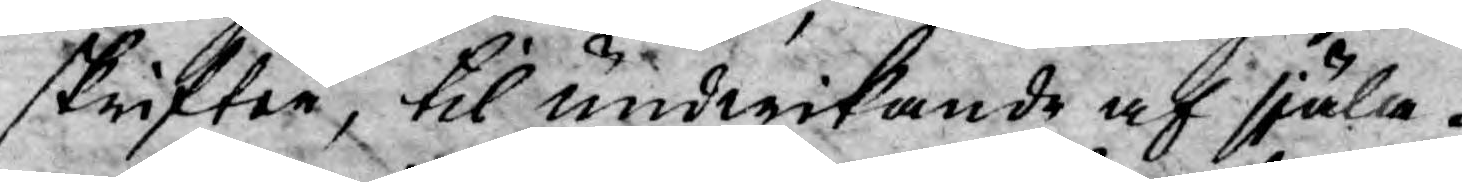skrifter, til undwikande af själa¬
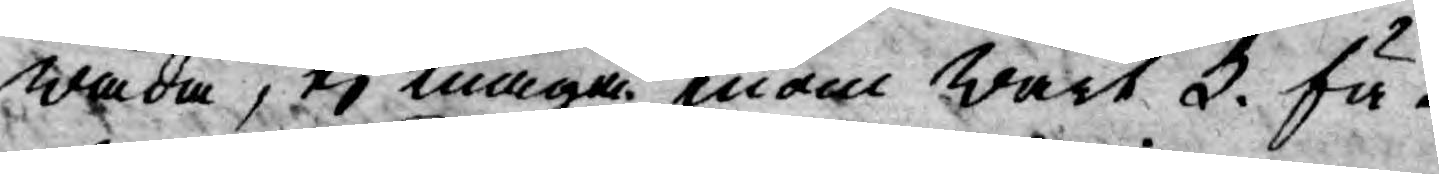wåda, ej måga inom wårt k. fä¬
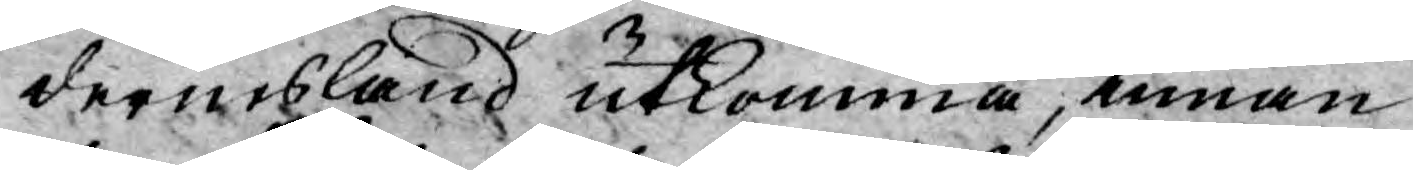dernesland utkomma, innan
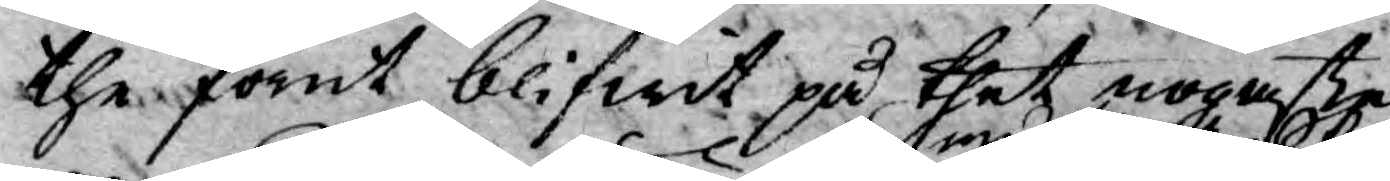the förut blifwit på thet nogaste
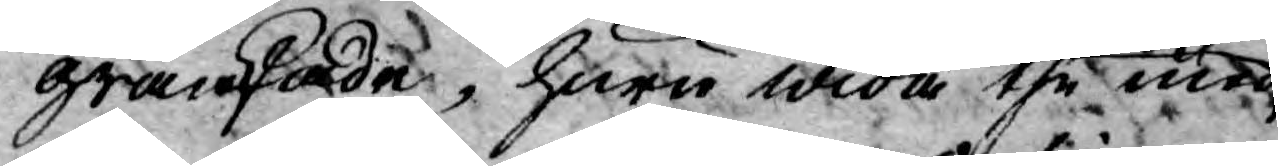granskade, huru wida the med 
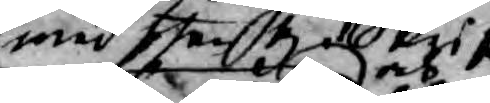med then H. Skrift
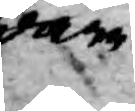ware
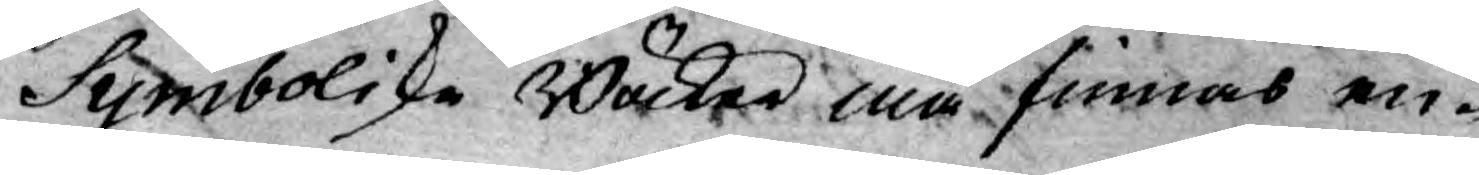Symboliska Böcker må finnas en¬
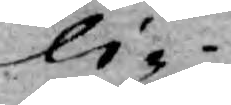li¬
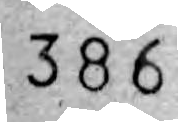386
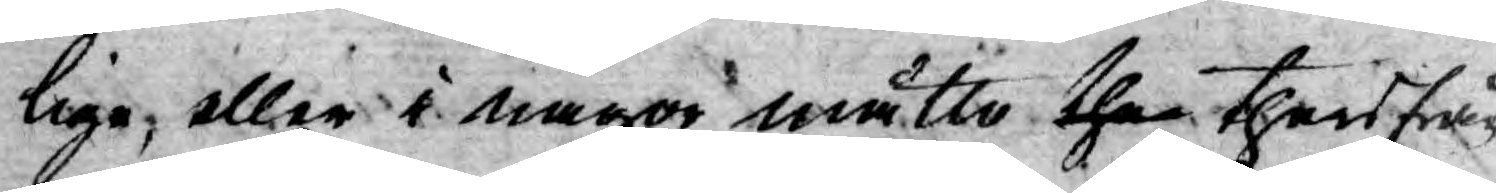lige, eller i någon måtto then therifrån
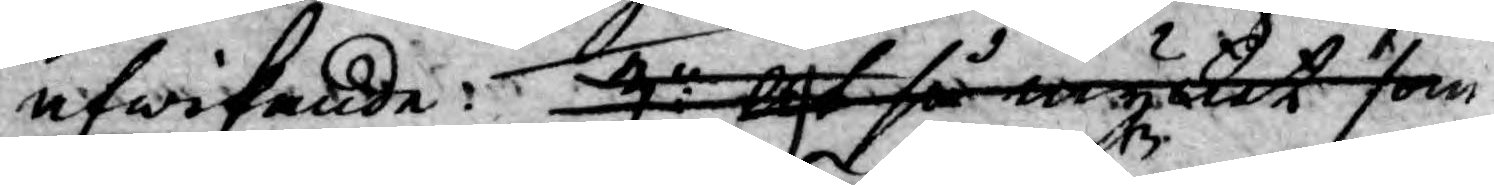afwikande: 3o blef så mycket som
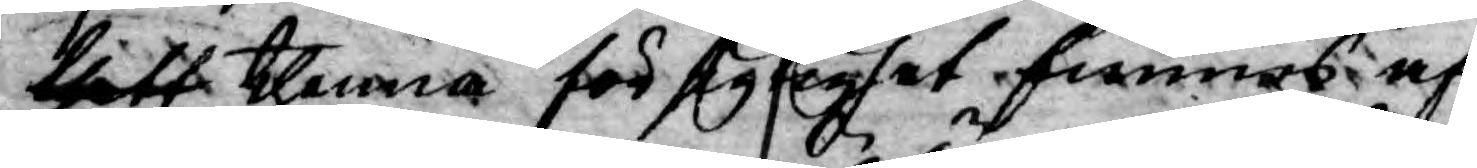thett thenna försigtighet finnas af
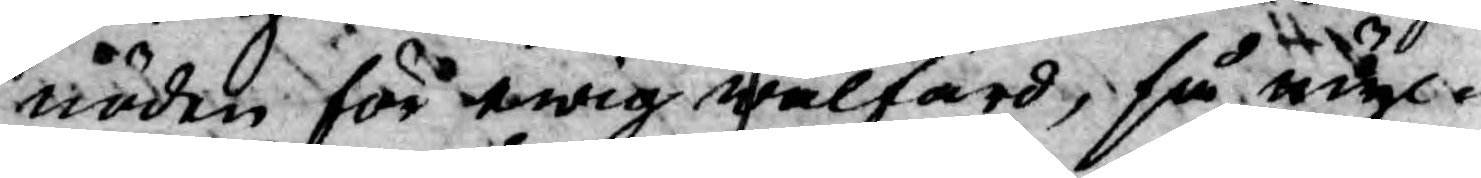nöden för ewig wälfärd, så myc¬
